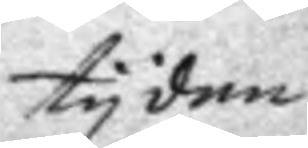tyden
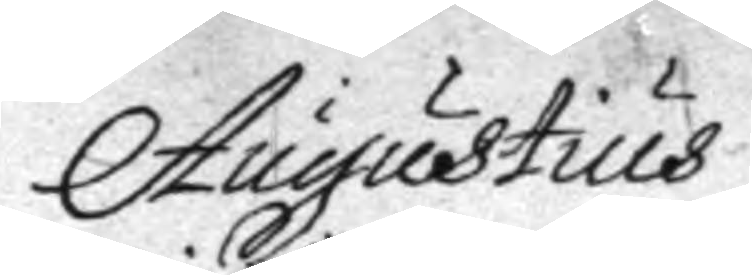Augustius
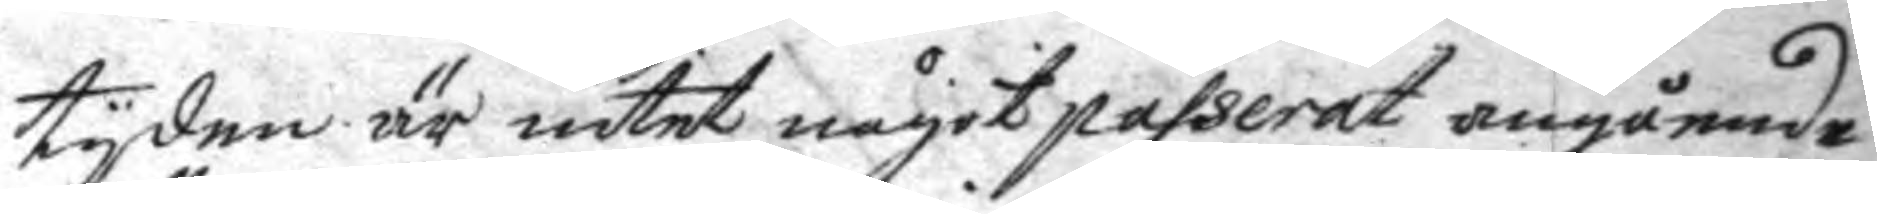tyden är intet något passerat angående
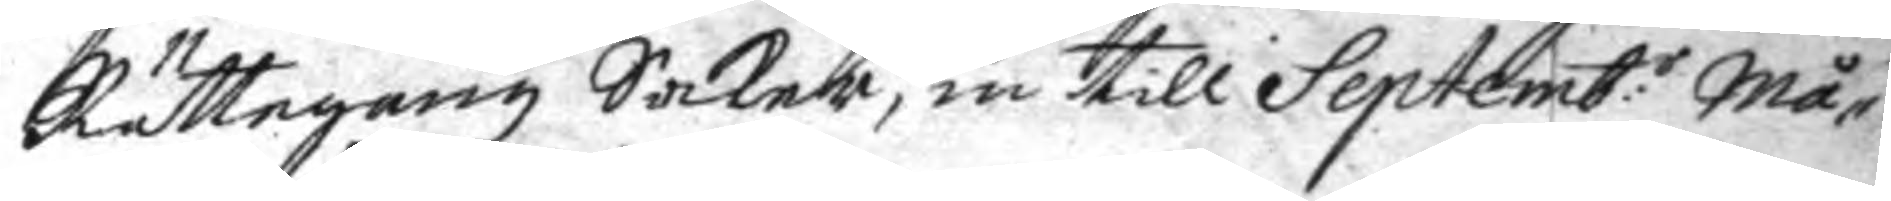Rättegångz Saker, in till Septemb:r Må¬
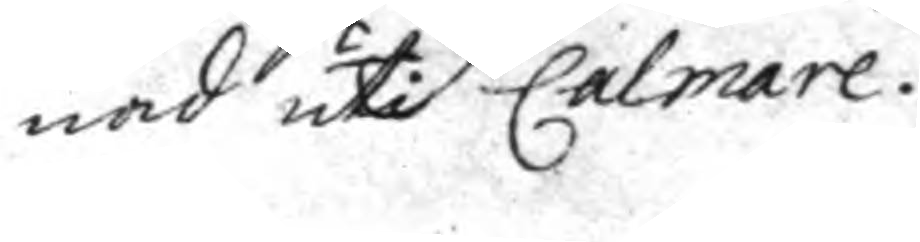nad uti Calmare.
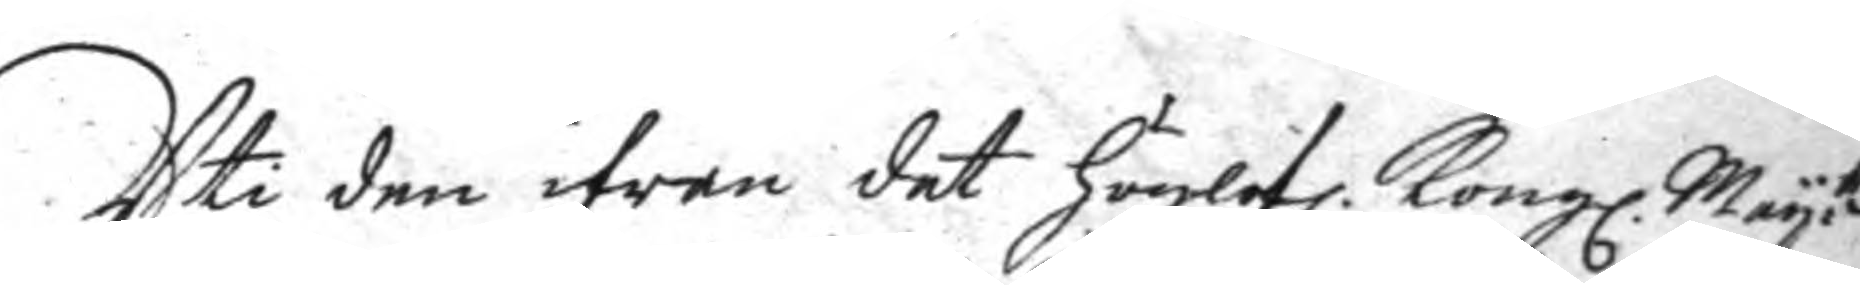Uti den ifrån det höglofl. Kongl. May:ttz
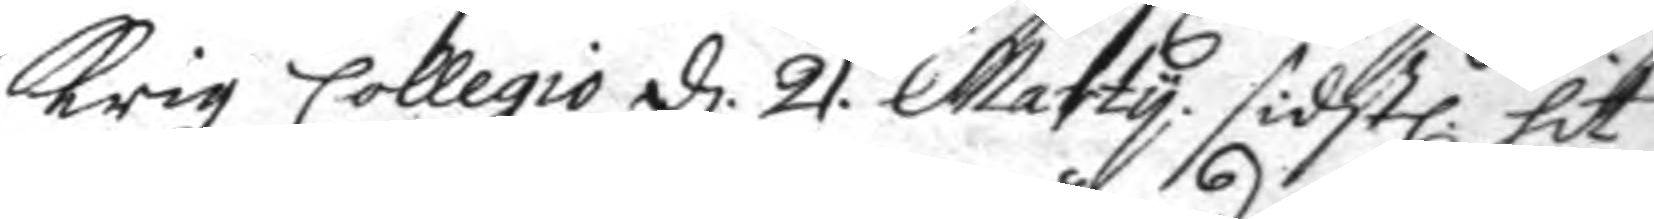Krigz Collegio d. 21. Marty sidstl. hit
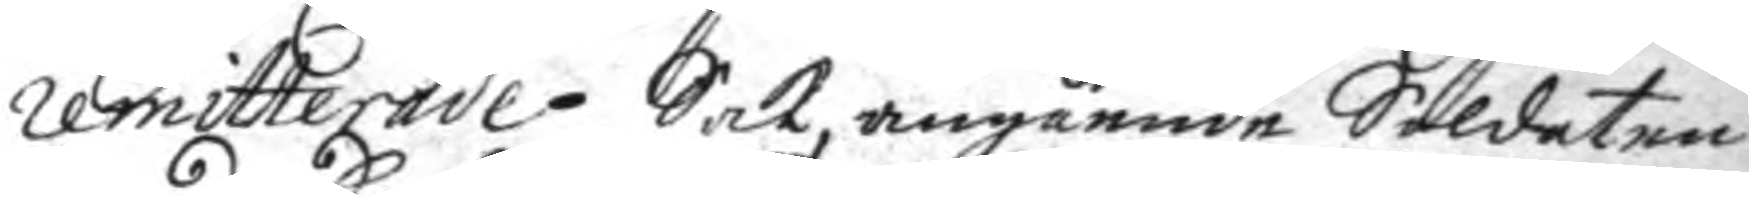remitterade Sak angående Soldaten
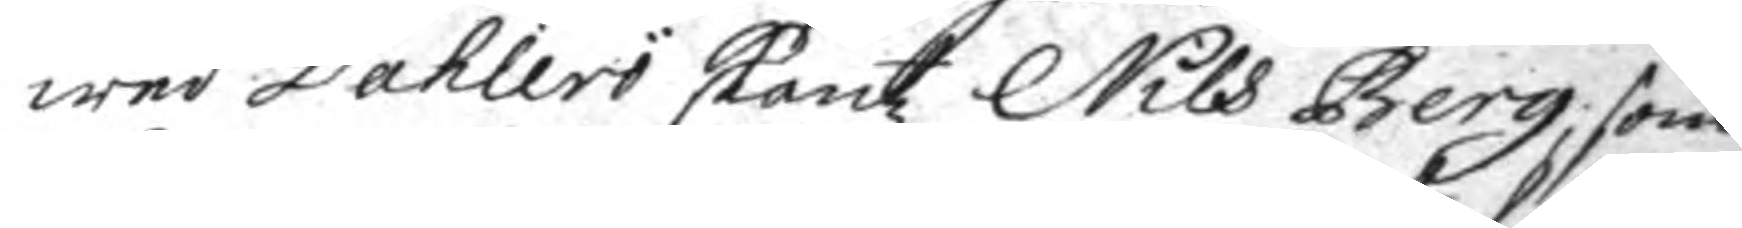wed Dahlerö skantz Nils Berg, som
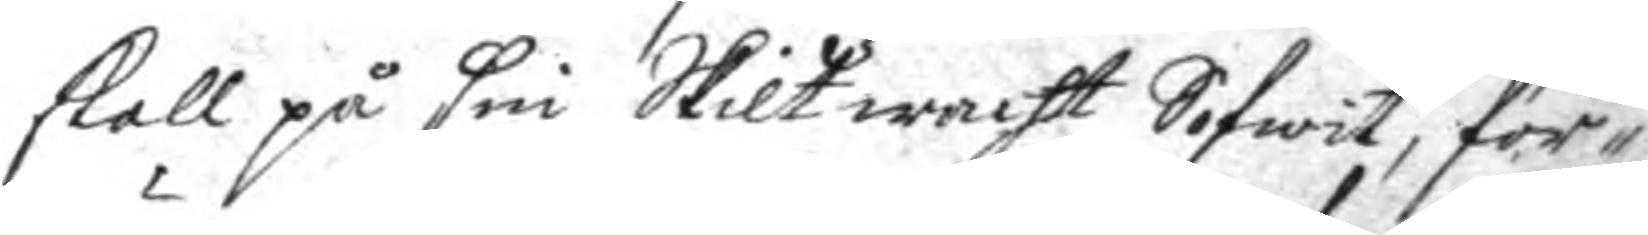skall på sin Skilt wacht Sofwit, för¬
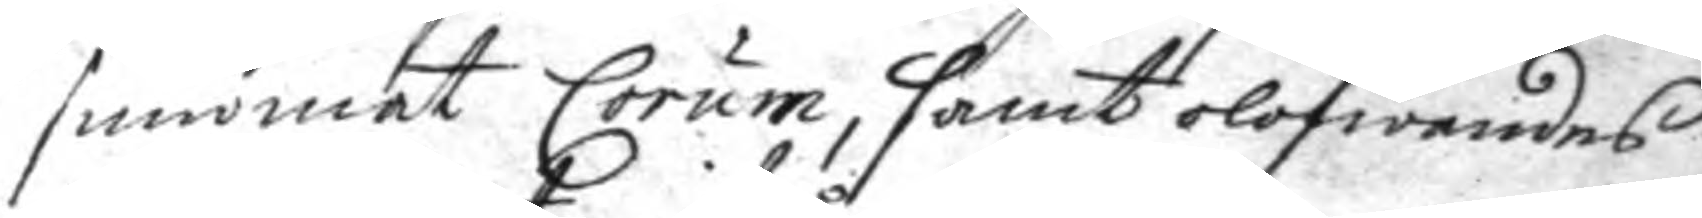summat Corum, samt olofwandes
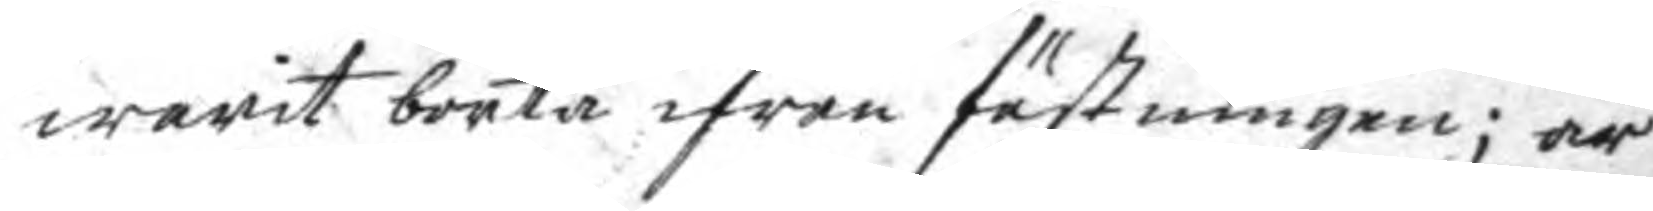warit borta ifrån fästningen; är
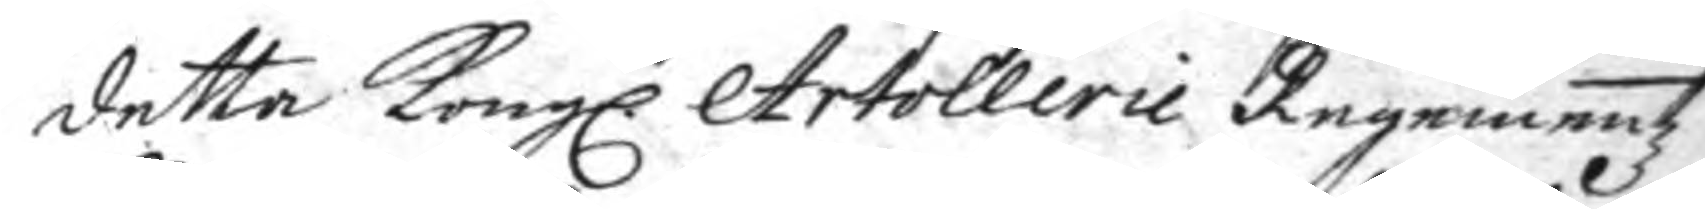detta Kongl. Artollerie Regementz
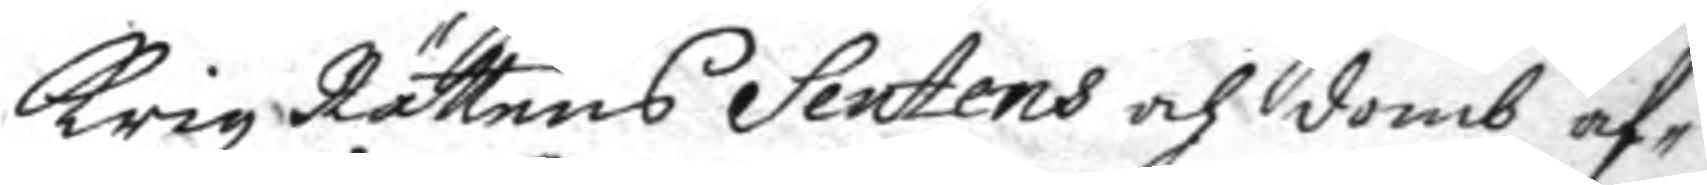Krigz Rättens Sentens och domb af¬
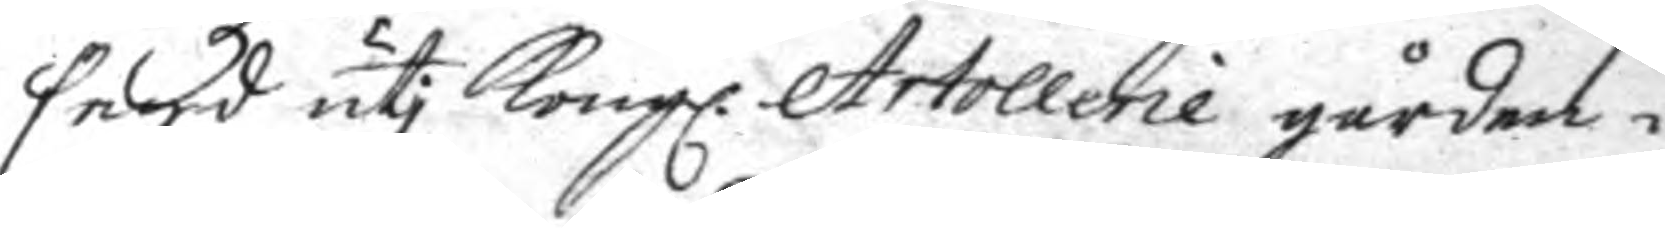sagd uti Kongl. Artollerie gården i
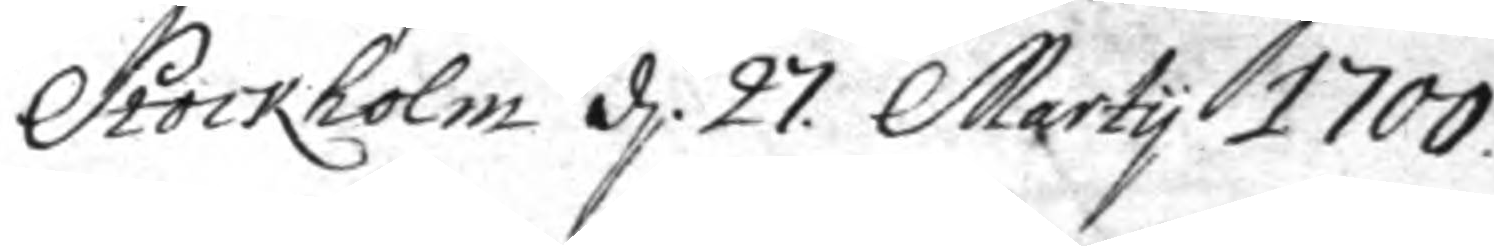Stockholm d. 27. Marty 1700.
